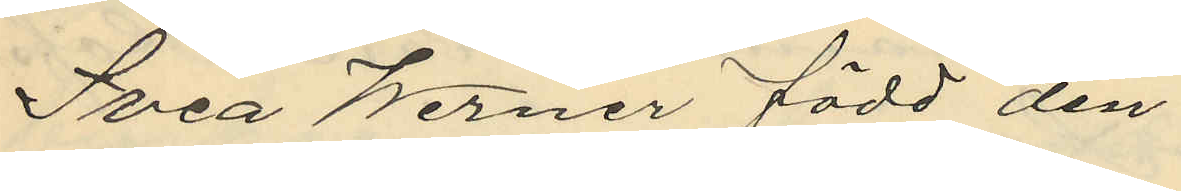Svea Werner född den
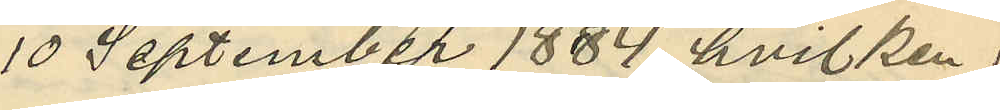10 September 1884 hvilken
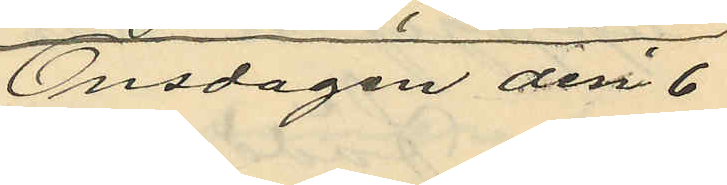Onsdagen den 6
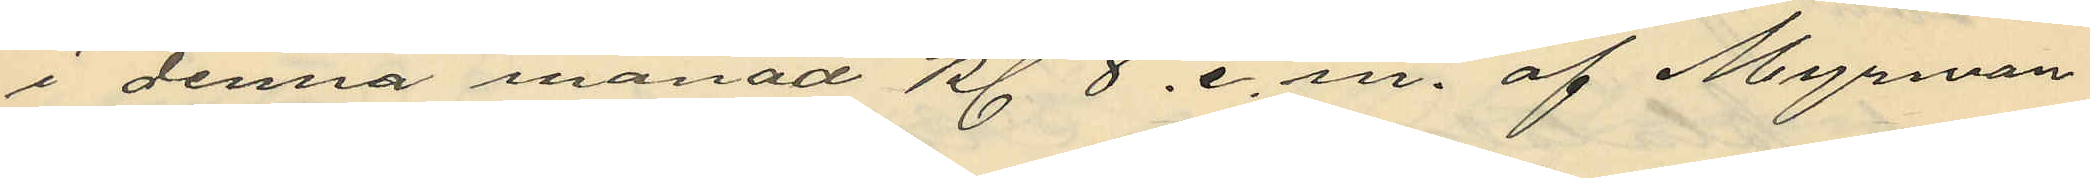i denna månad kl. 8. e. m. af Myrman
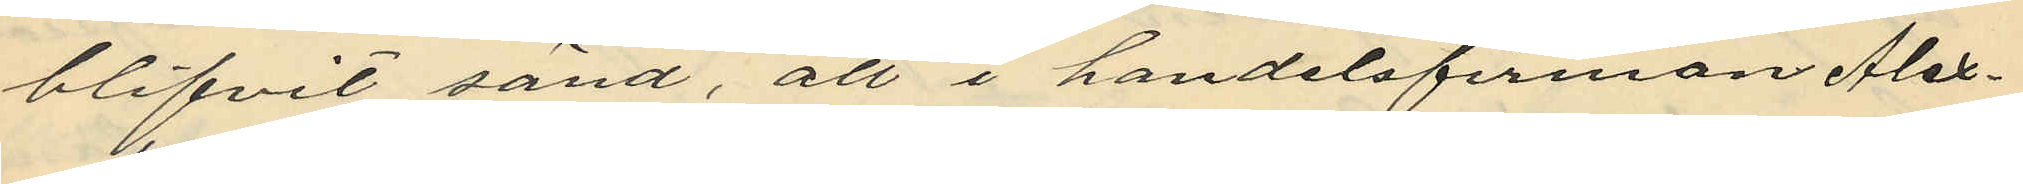blifvit sänd, att i handelsfirman Alex
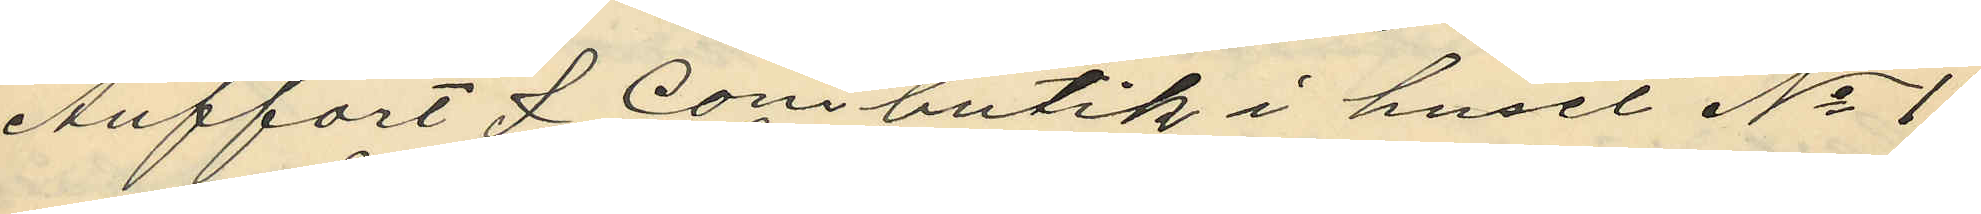Anffort & Conis butik i huset No 11
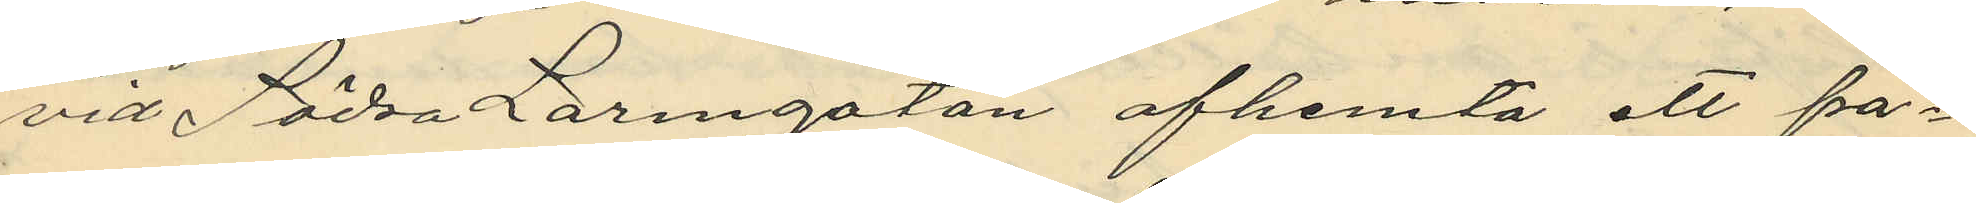vid Södra Larmgatan afhemta ett pa¬
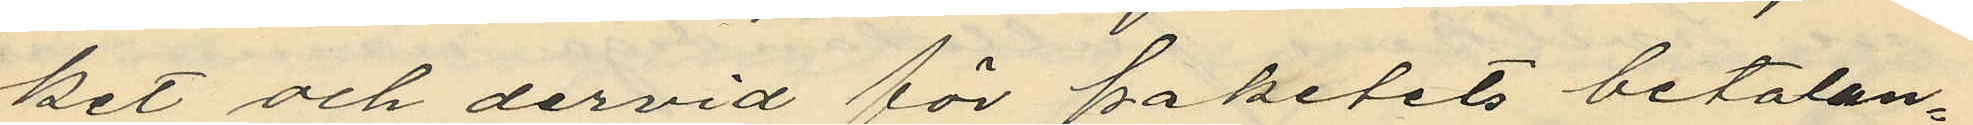ket och dervid för paketets betalan¬
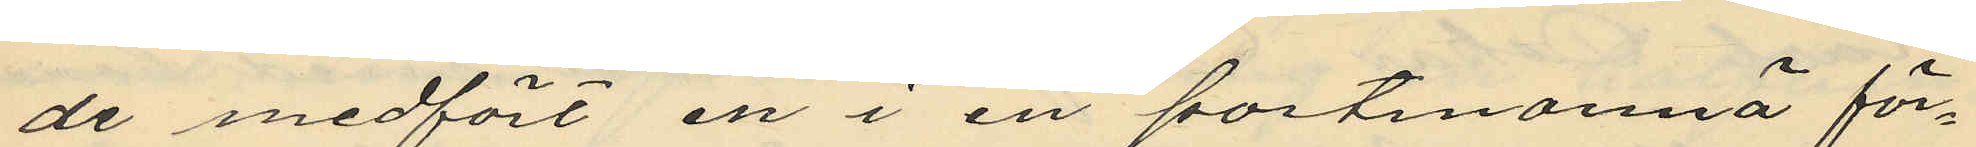de medfört en i en portmonnä för¬
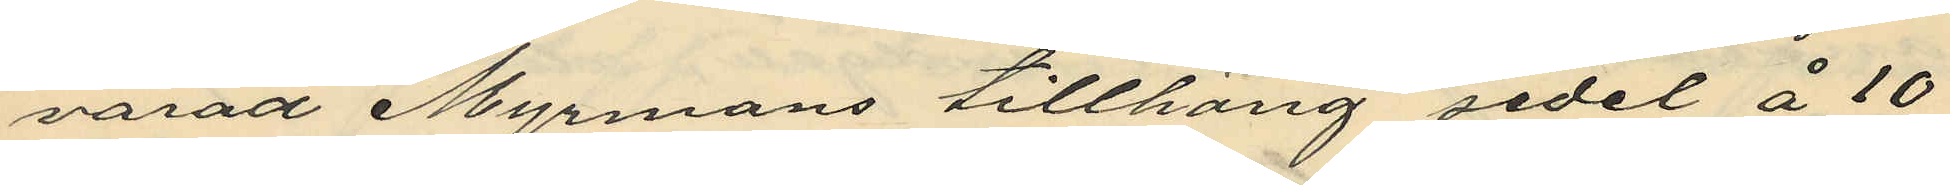varad Myrmans tillhörig sedel å 10
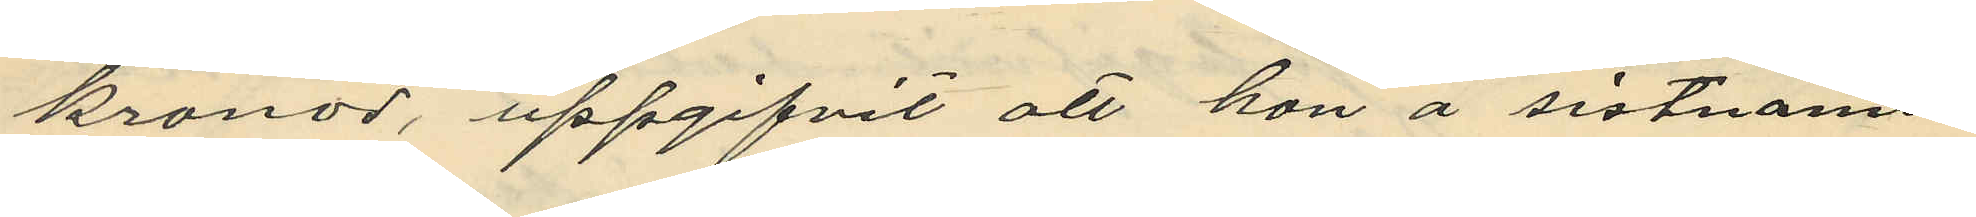kronor, uppgifvit att hon å sistnämn¬
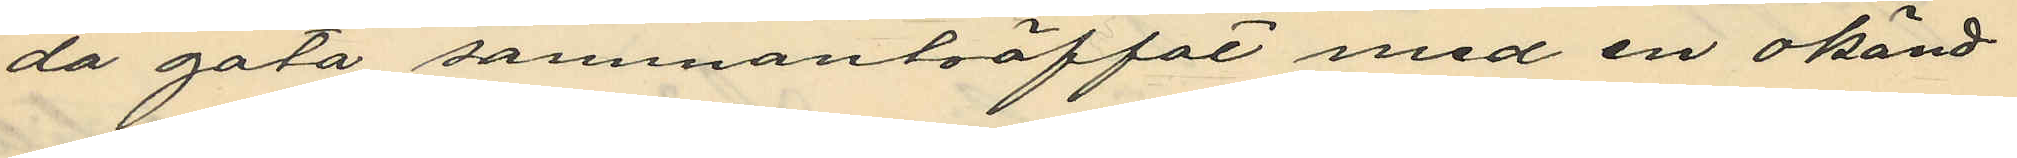da gata sammanträffat med en okänd
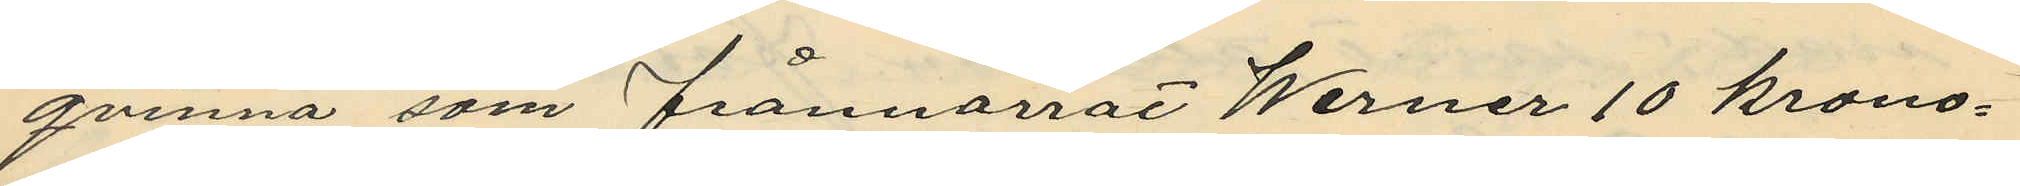qvinna som frånnarrat Werner 10 krono¬
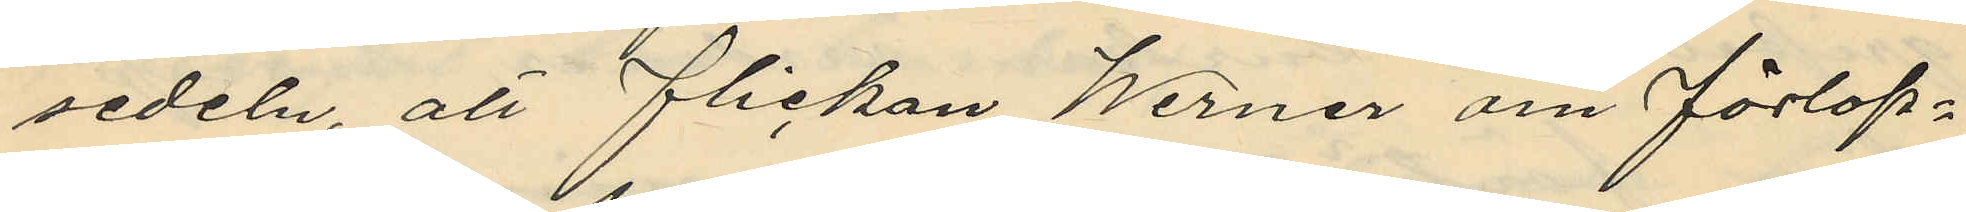sedeln att flickan Werner om förlop¬
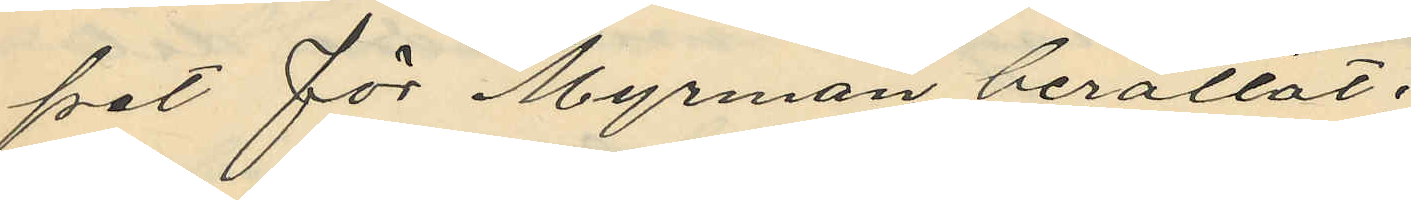pet för Myrman berättat.
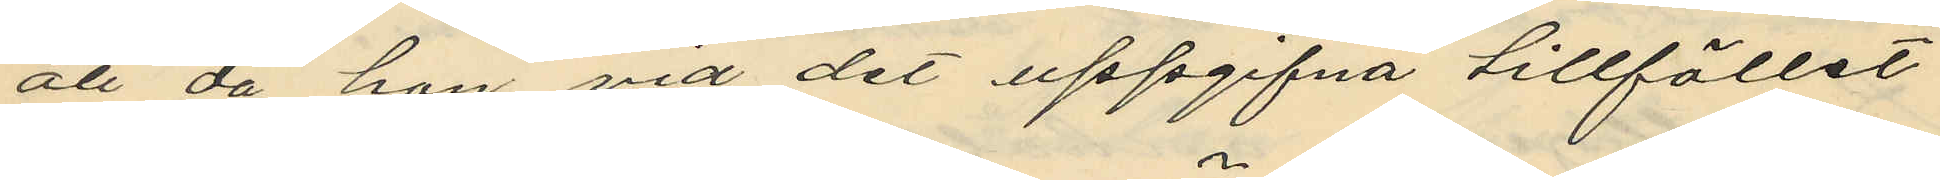att då hon vid det uppgifna tillfället
